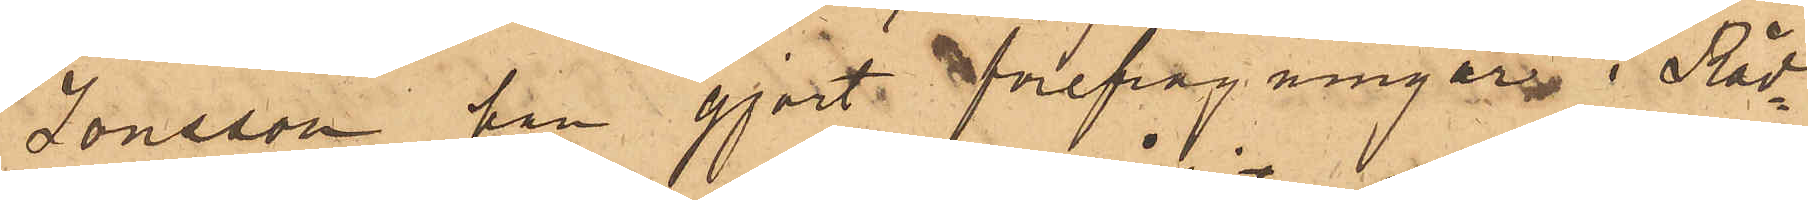Jonsson, han gjort förefrågningar i Råd¬
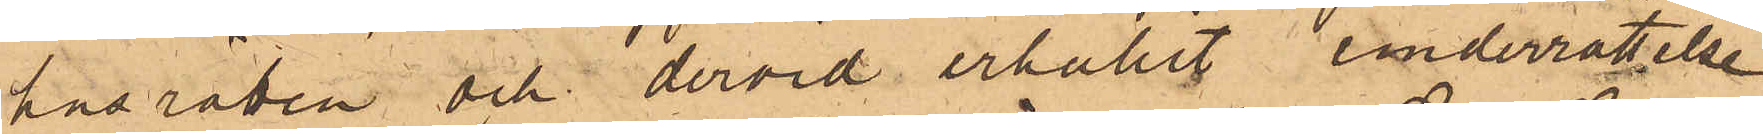husrätten och dervid erhållit underrättelse
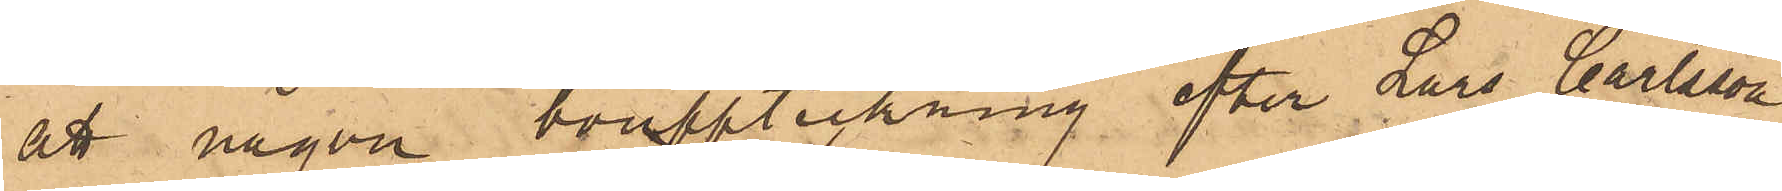att någon bouppteckning efter Lars Carlsson
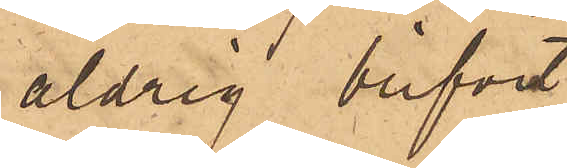aldrig blifvit
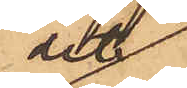dit
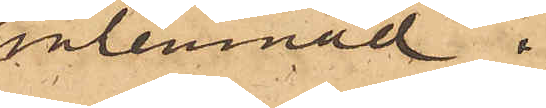inlemnad.
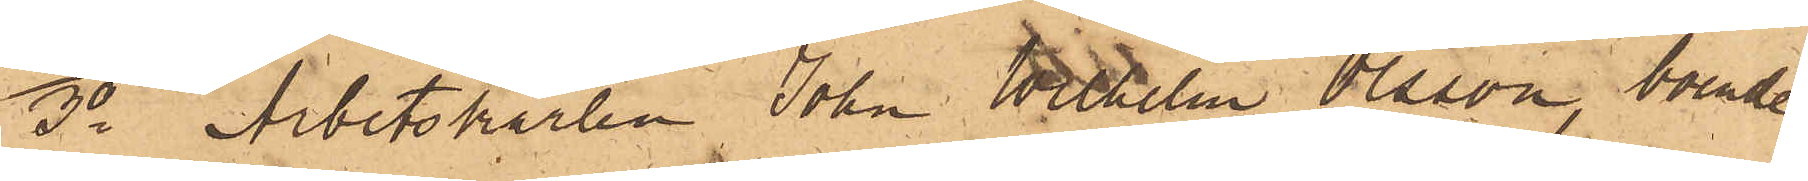3o Arbetskarlen John Wilhelm Olsson, boende
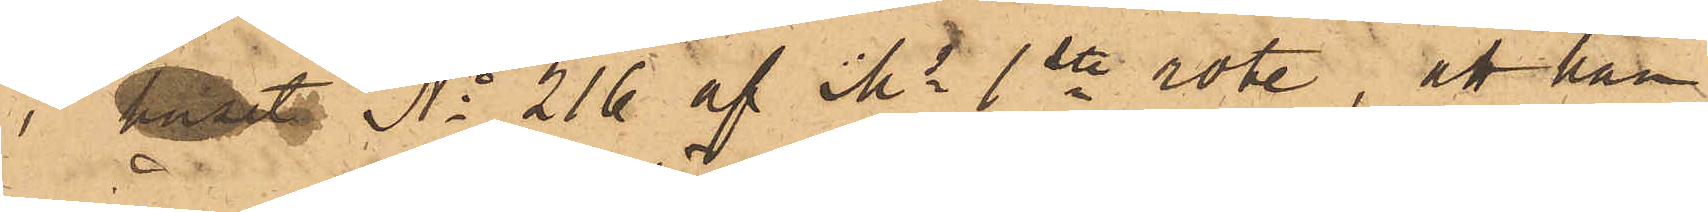i huset No 216 af Ms 1ste rote, att han
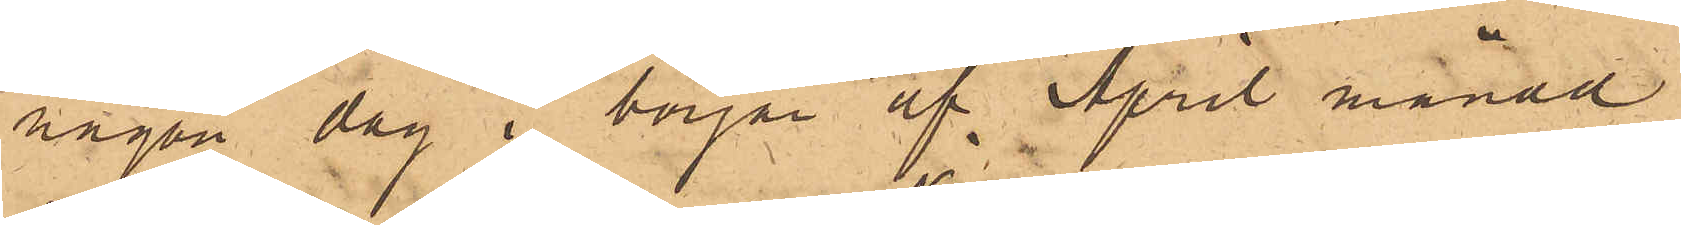någon dag i början af April månad
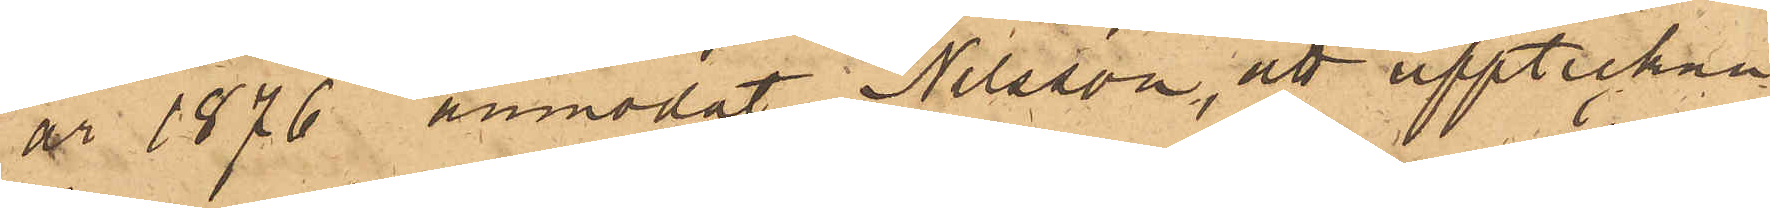år 1876 anmodat Nilsson, att uppteckna
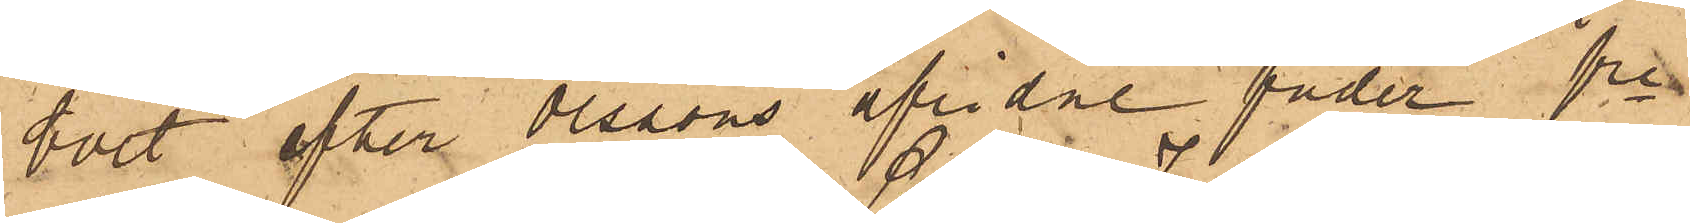boet efter Olssons aflidne fader fre
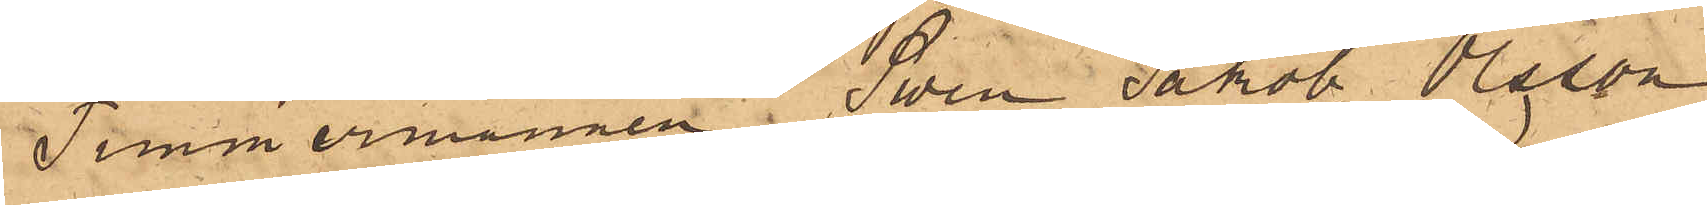Timmermannen Sven Jakob Olsson
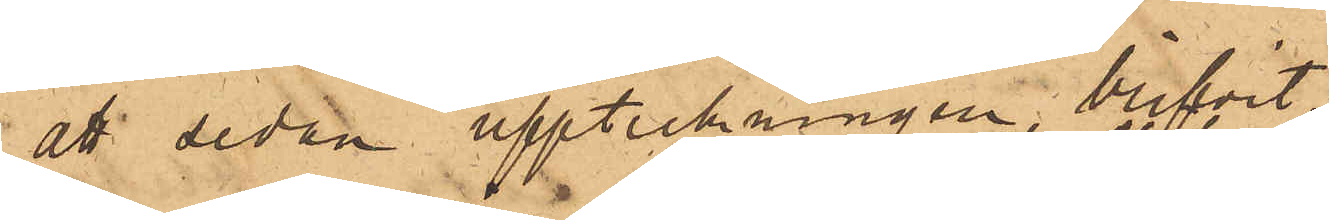att sedan uppteckningen blifvit
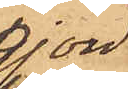gjord
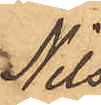Nils¬
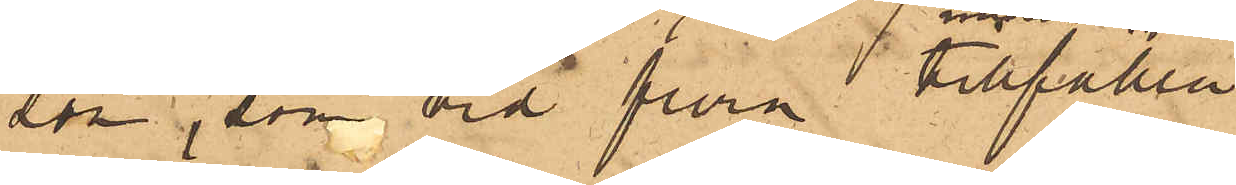som som vid flera tillfällen
